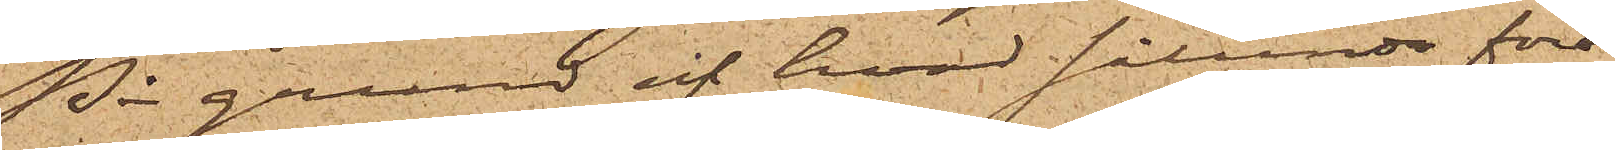På grund af hvad sålunda före¬
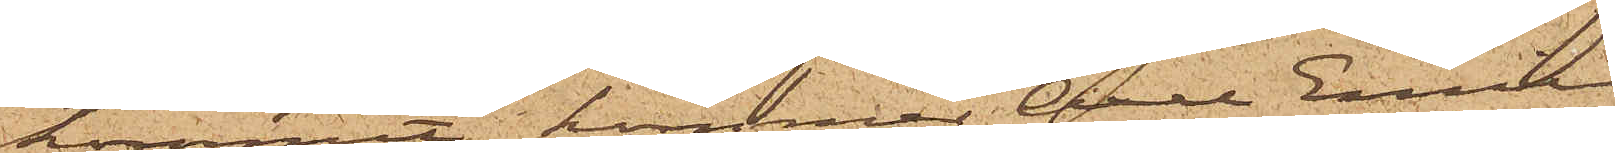kommit, kommer Carl Emil
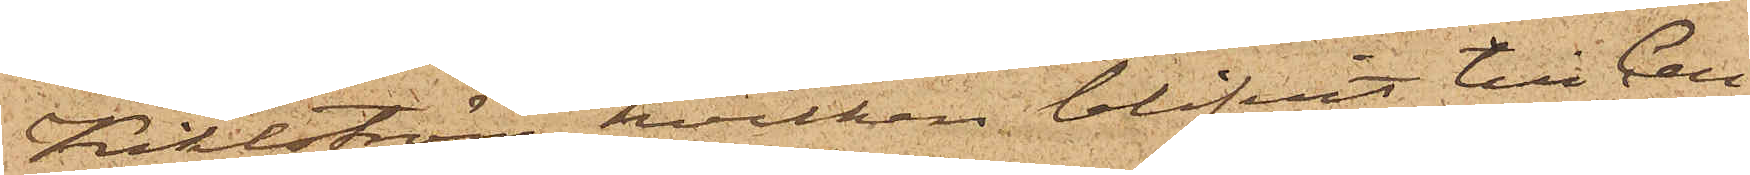Kihlström, hvilken blifvit till Cell¬
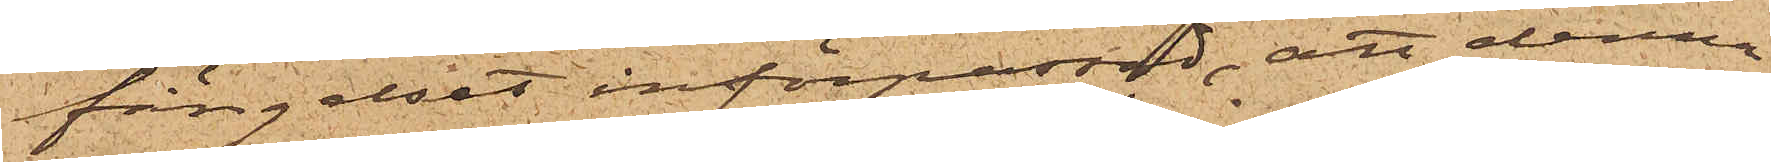fängelset införpassad, att denna
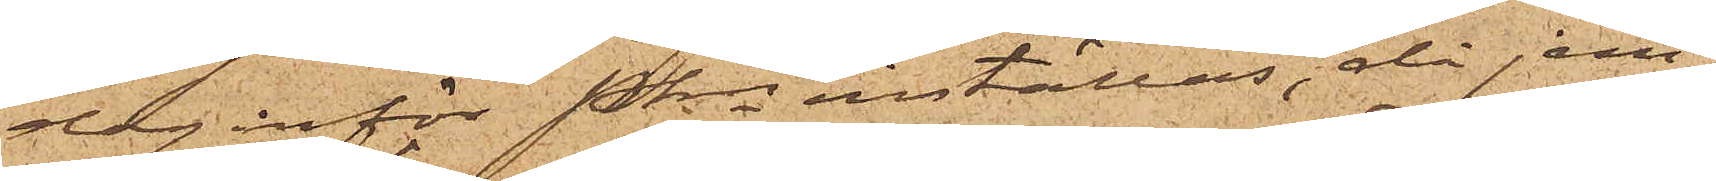dag inför Pkn inställas, då jem¬
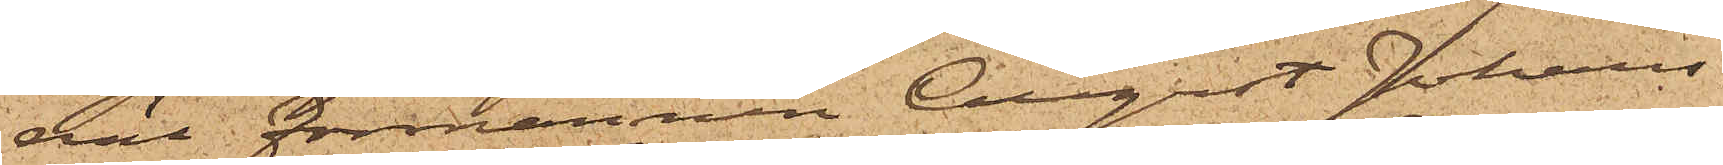väl förmannen August Johans¬
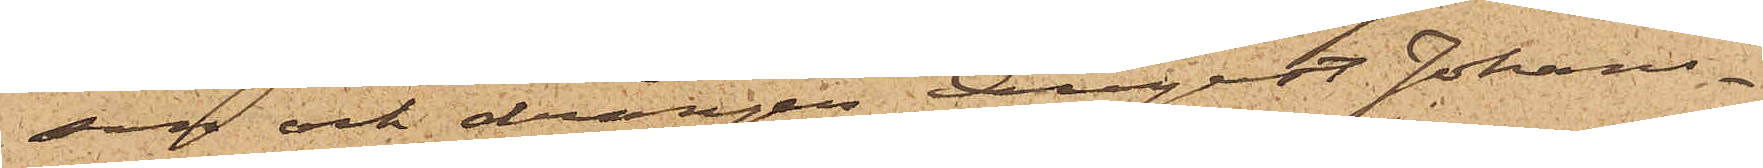son och drängen August Johans¬
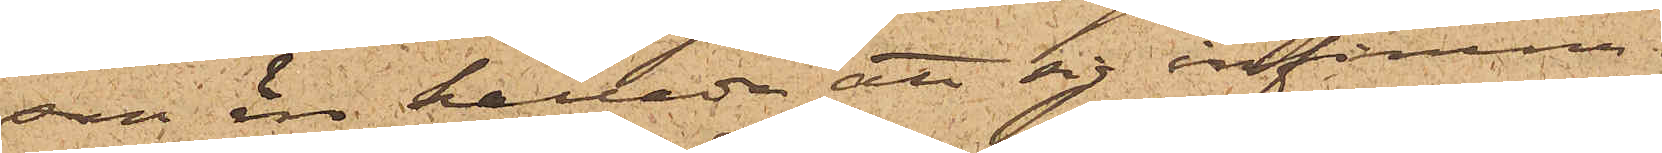son äro kallade att sig infinna.
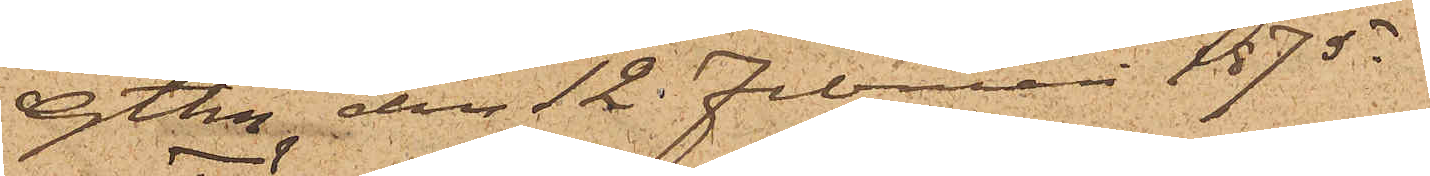Gtbg den 12 Februari 1875.
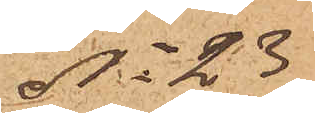No 23
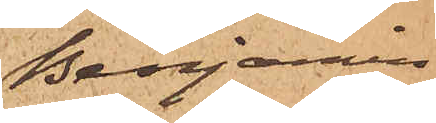Benjamin
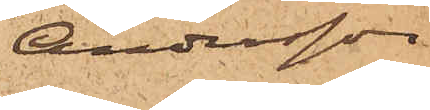Andersson
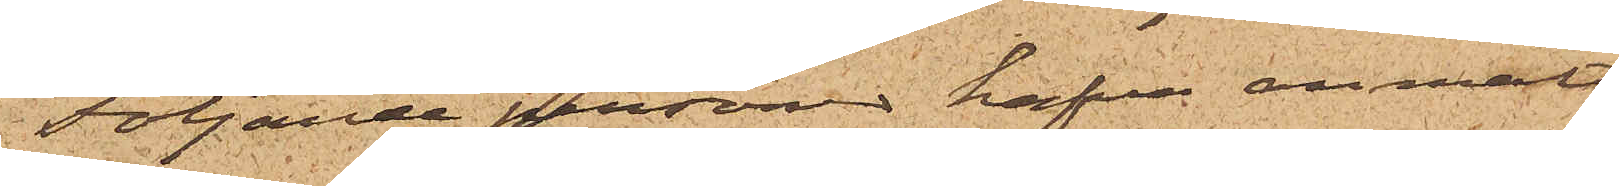Följande person hafva anmält:
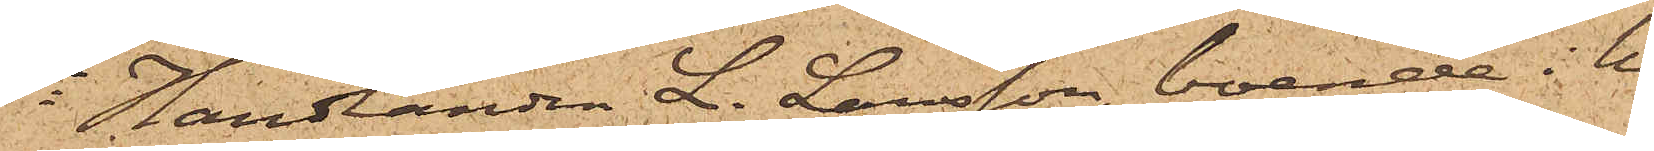1o Handlanden L. Larsson, boende i hu¬
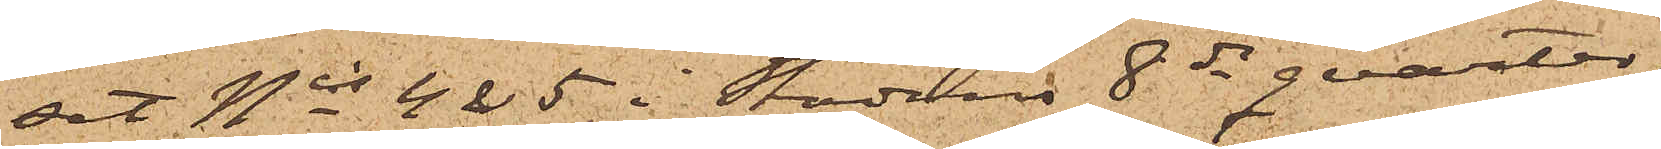set Nis 4 & 5 i Stadens 8de qvarter,
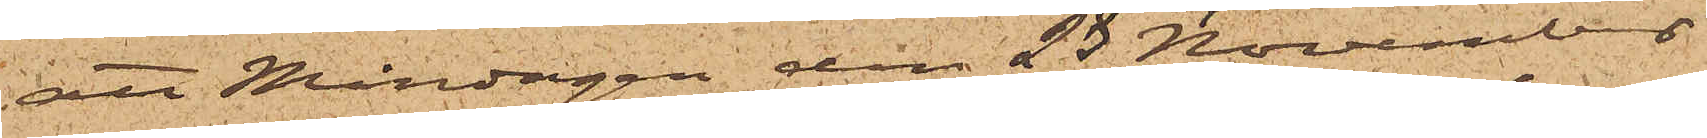att Måndagen den 23 November
